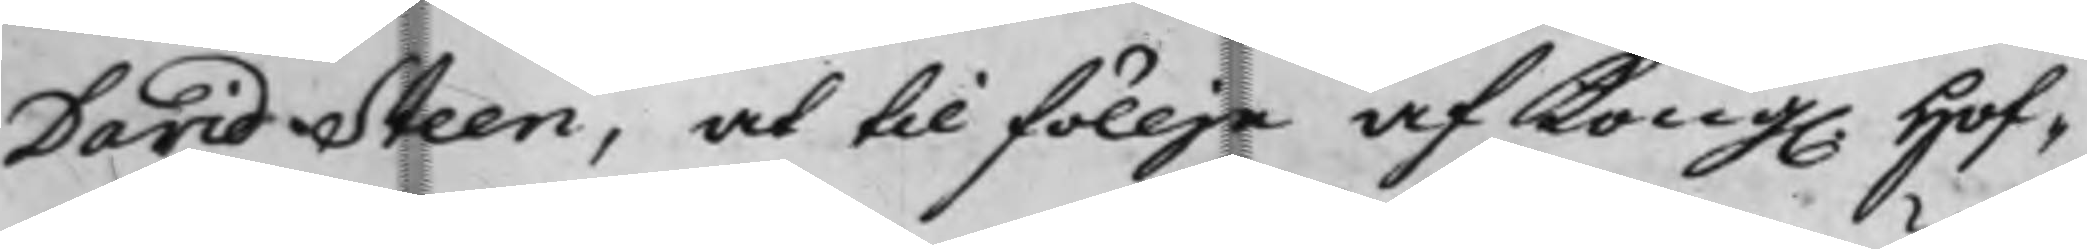David Steen, at til föllje af Kong. Hof¬
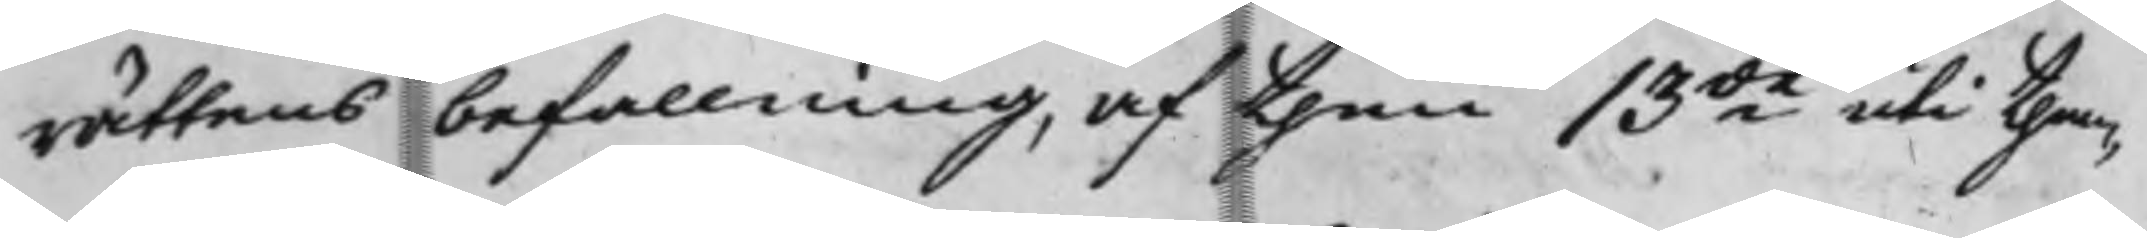rättens befallning, af then 13de uti then¬
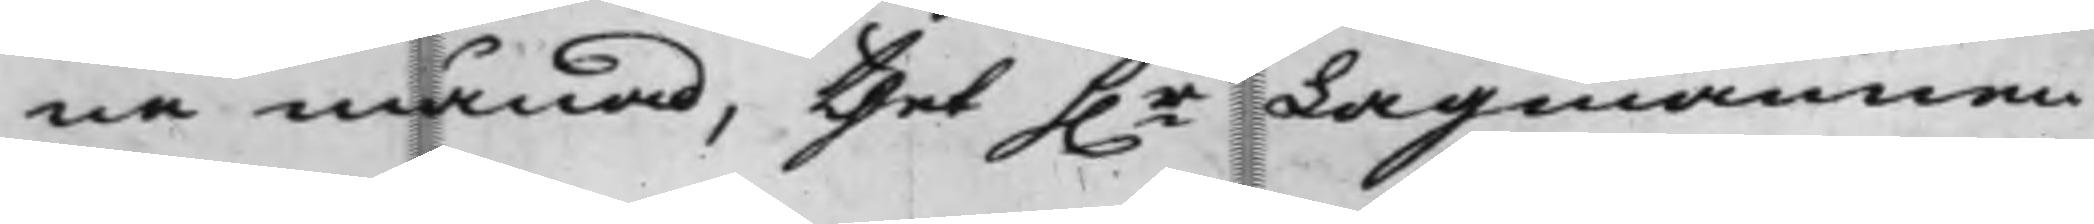na månad, thet h.r Lagmannen
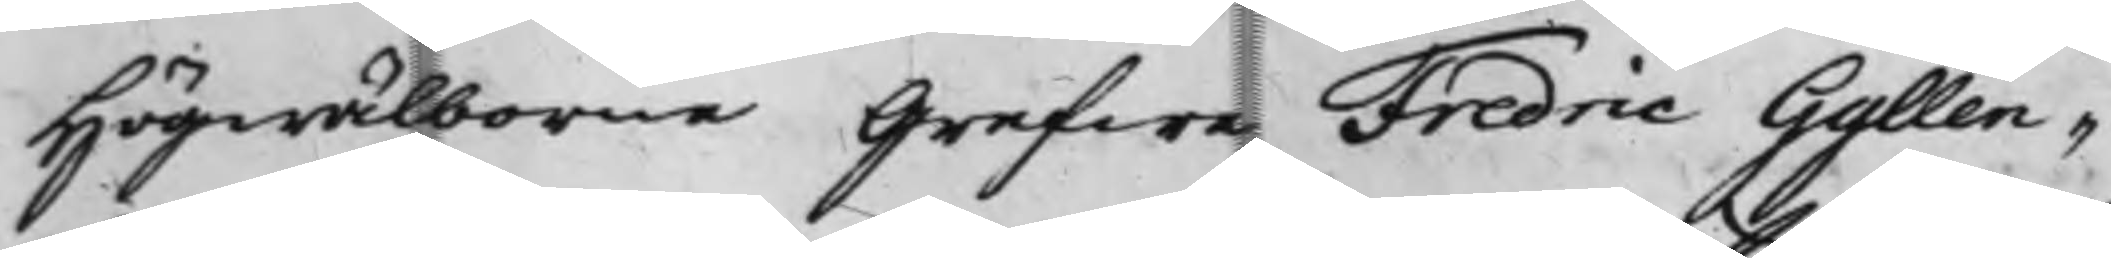Högwälborne Grefwe Fredric Gyllen¬
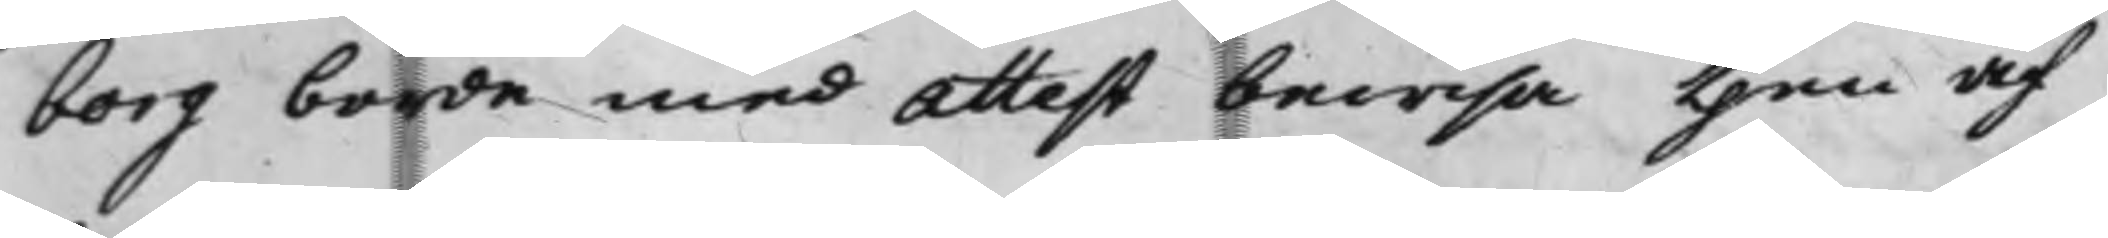borg borde med Attest bewisa then af
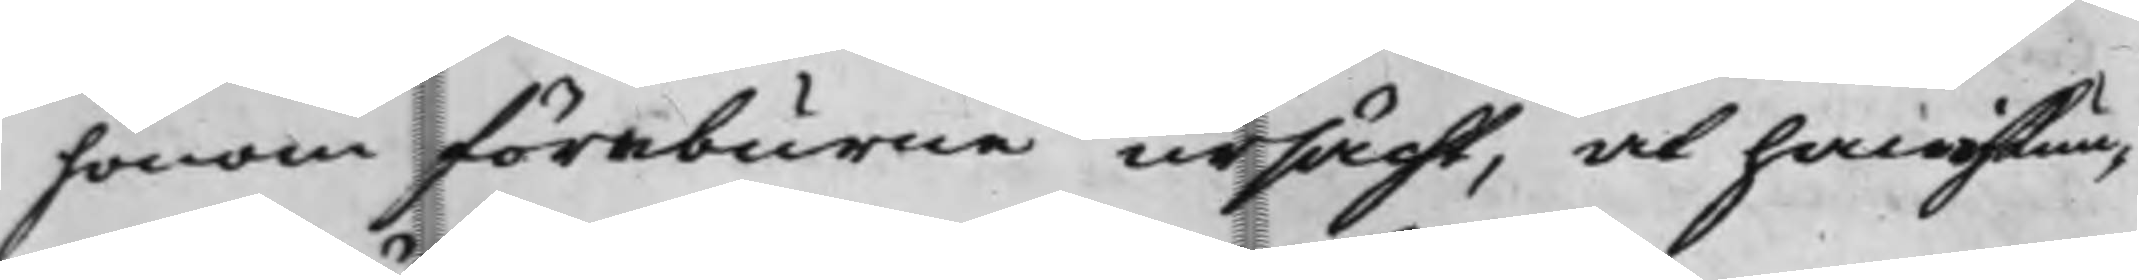honom föreburne ursächt, at han ei kun¬
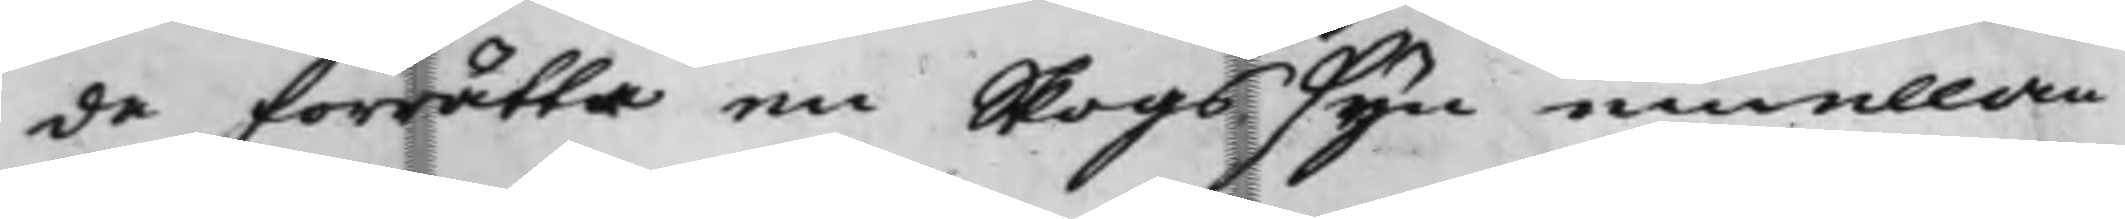de förrätta en Skogssyn emellan
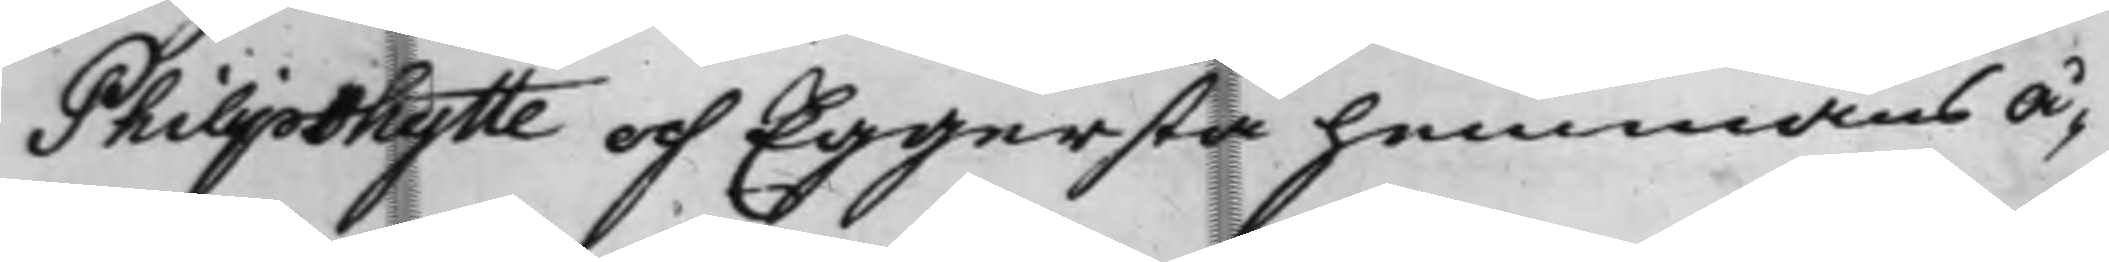Philipshytte och Eggersta hemmans Å¬
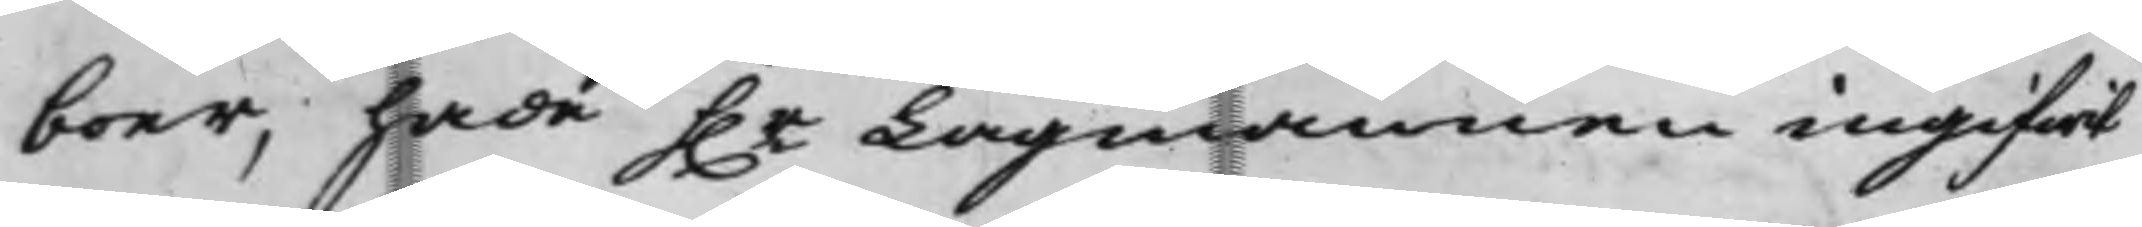boer, hade h.r Lagmannen ingifwit
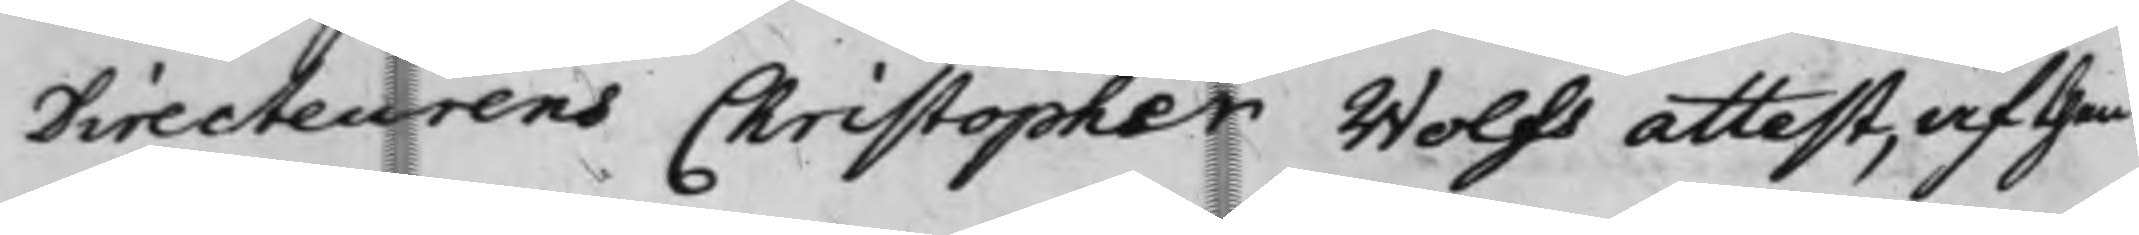Directeurens Christopher Wolfs attest, af then
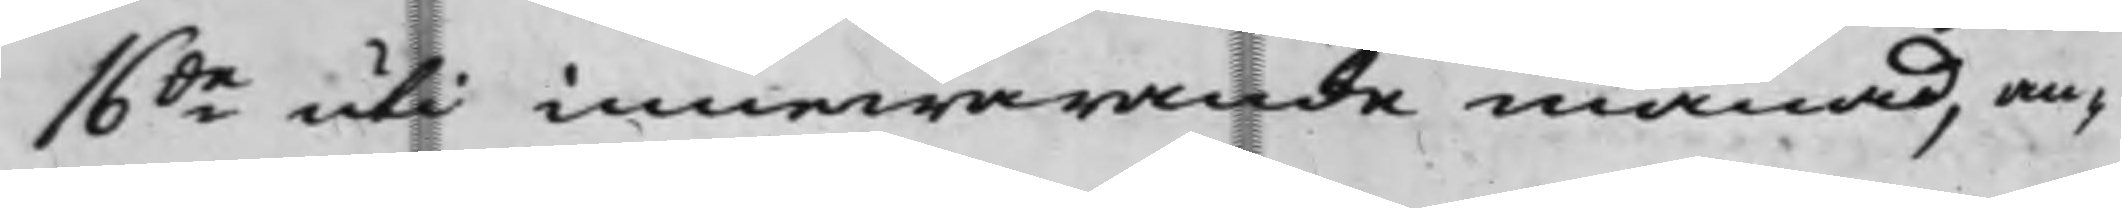16de uti innewarande månad, an¬
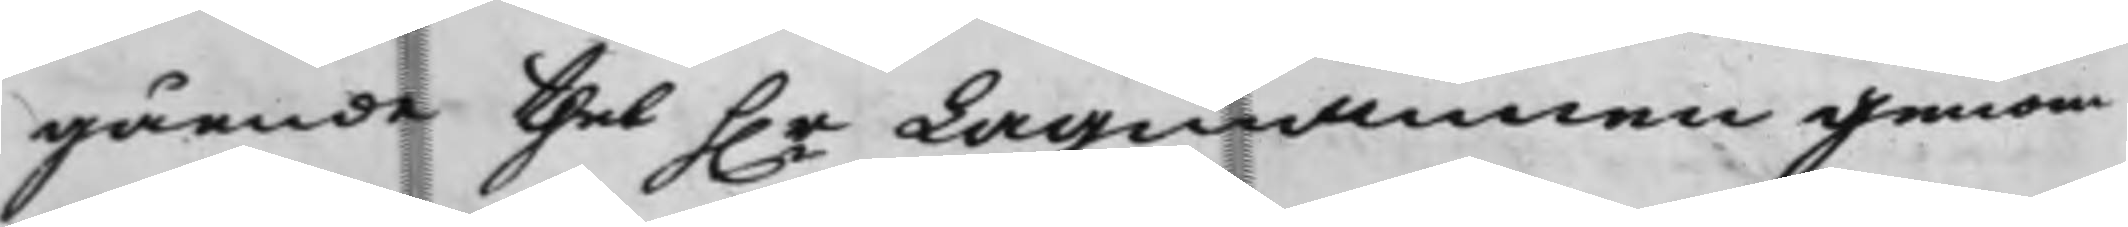gående thet h.r Lagmannen genom
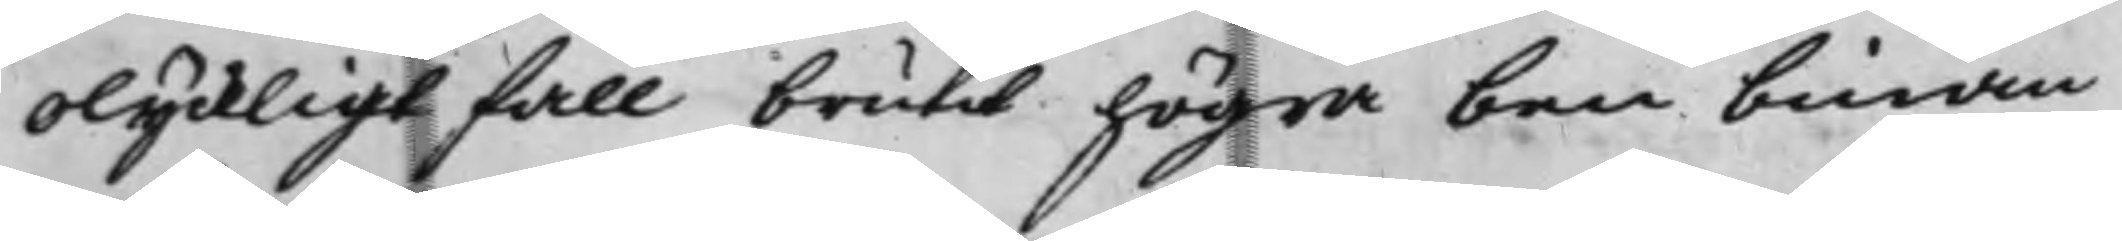olyckligt fall brutit högra benbinan
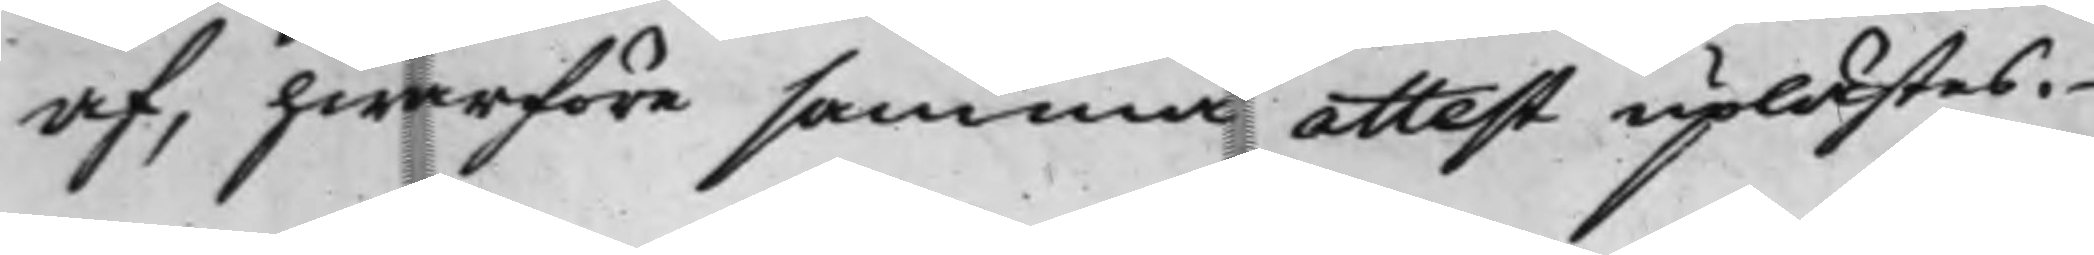af, hwarföre samma attest uplästes.
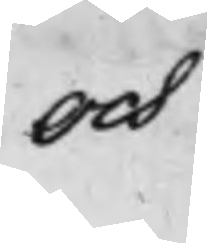Och
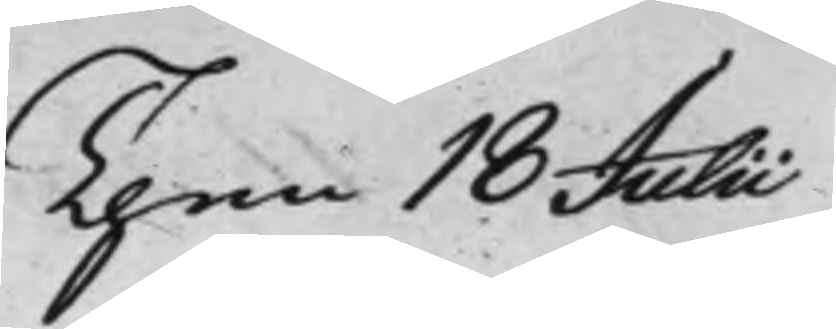Then 18 Julii
